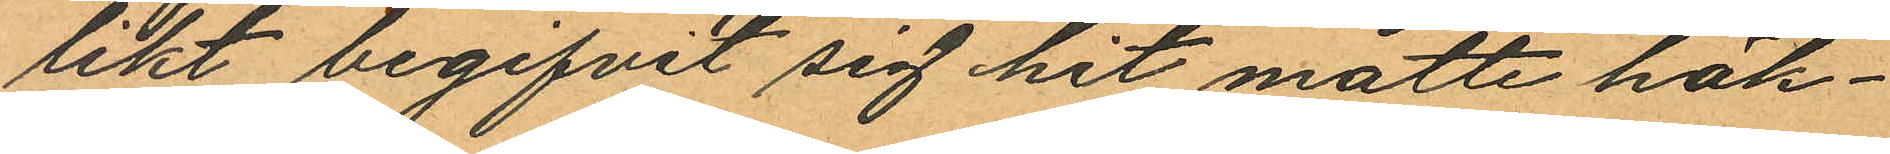likt begifvit sig hit måtte häk¬
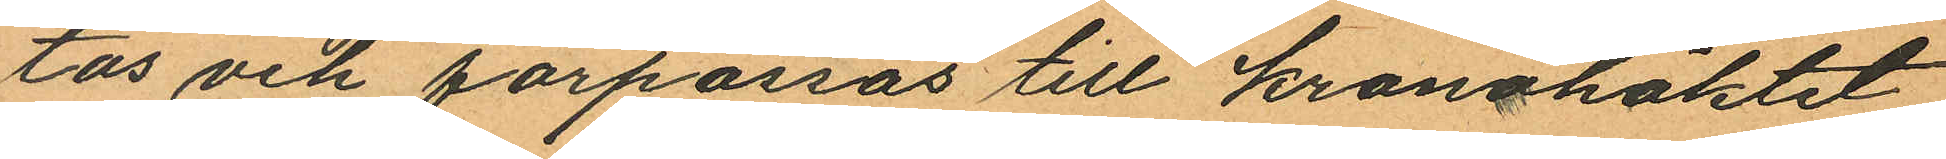tås och förpassas till kronohäktet
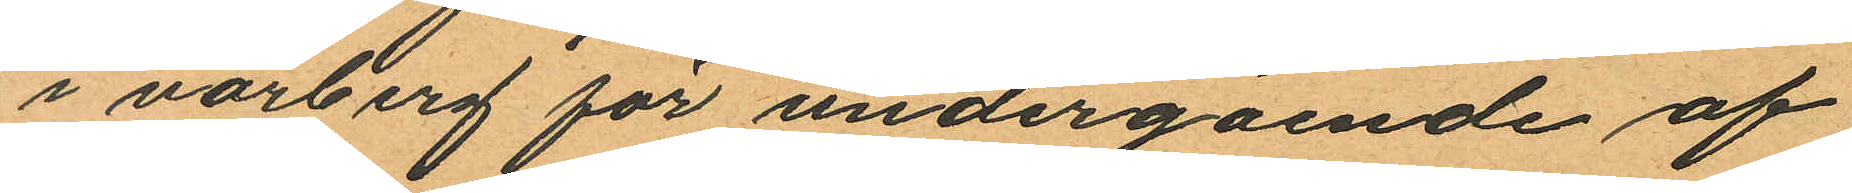i varberg för undergående af
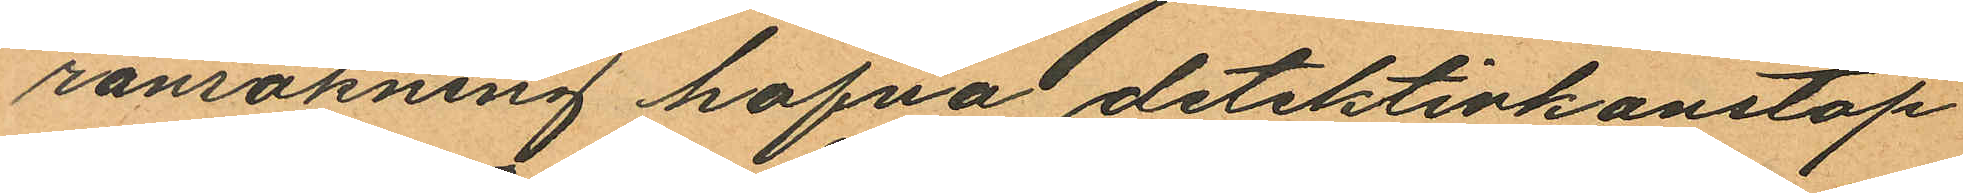ransakning hafva detektivkonstap¬
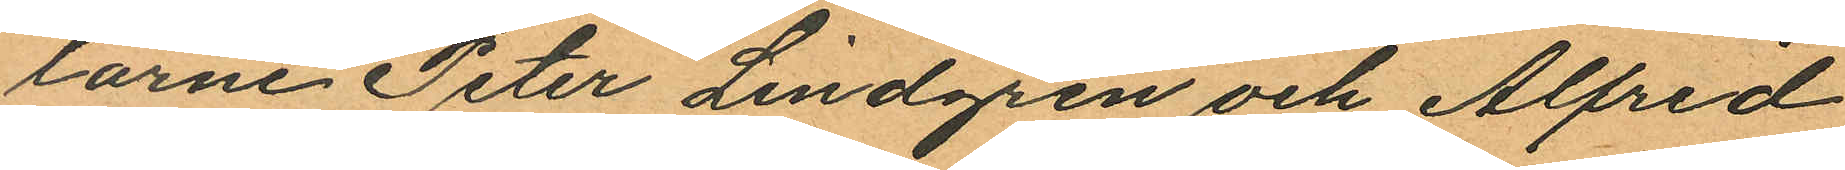larne Peter Lindgren och Alfred
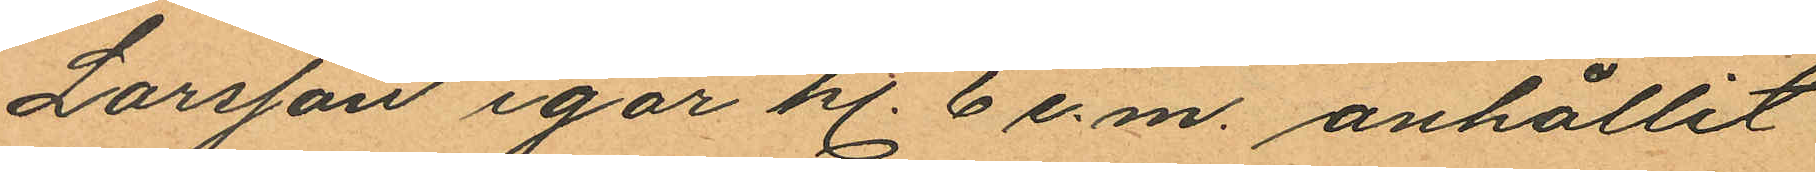Larsson igår kl. 6 e.m. anhållit
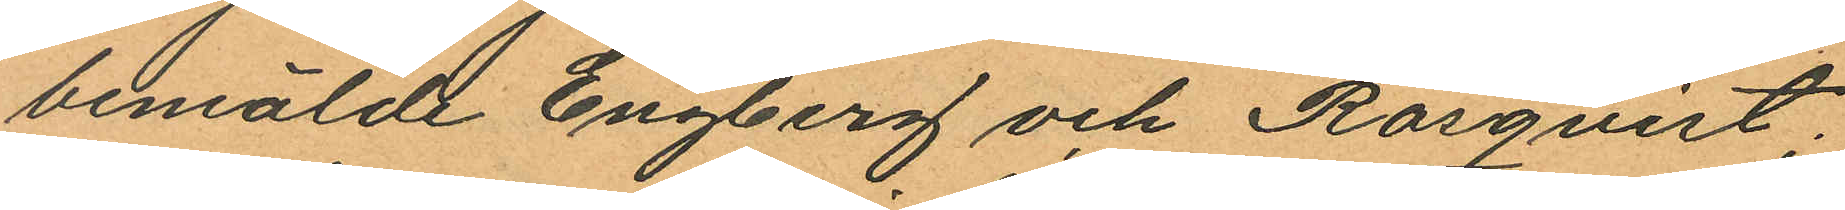bemälde Engberg och Rosqvist;
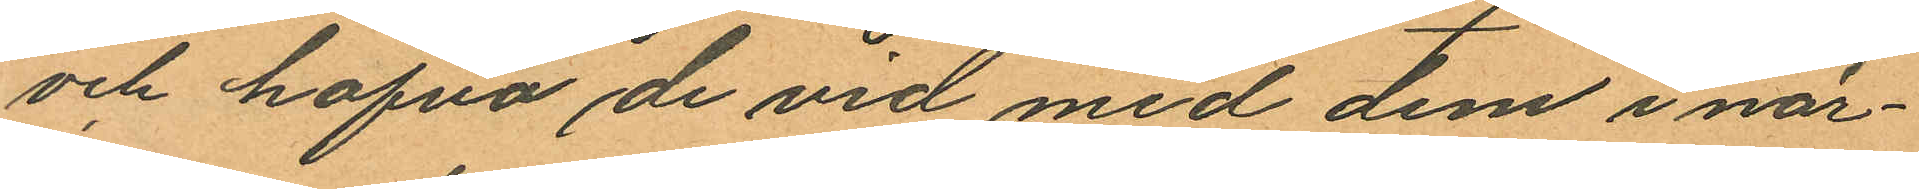och hafva de vid med dem i när¬
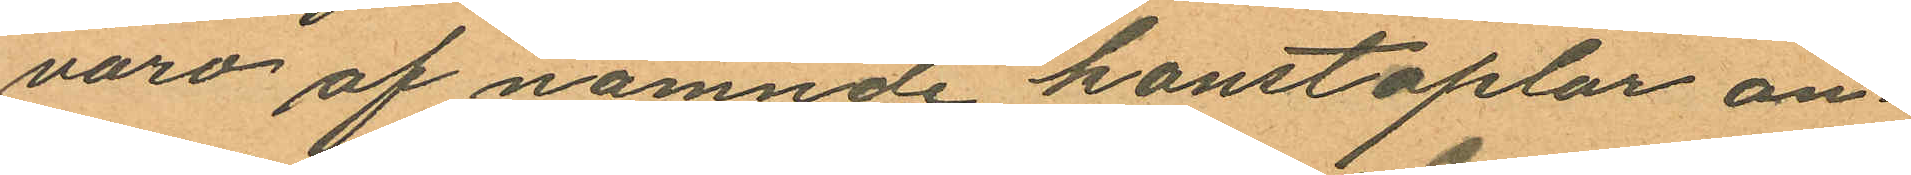varo af nämnde konstaplar an¬
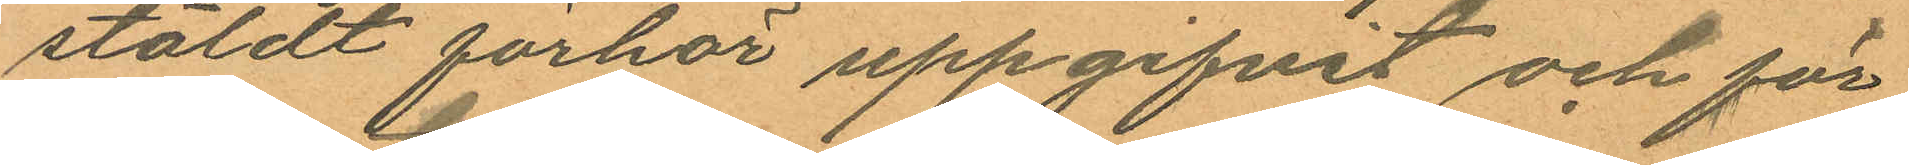stäldt förhör uppgifvit och för
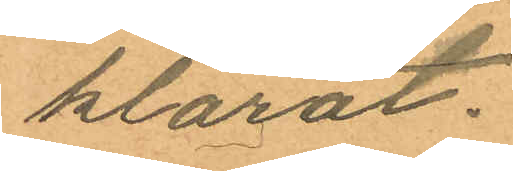klarat.
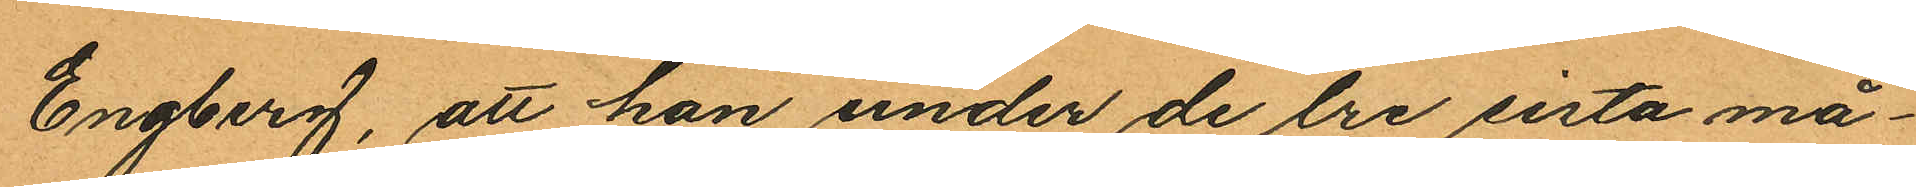Engberg, att han under de lre sista må¬
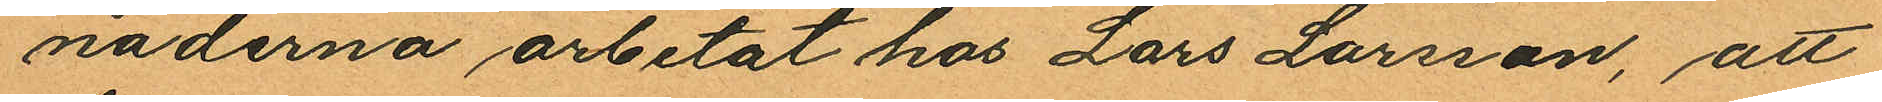naderna arbetat hos Lars Larsson, att
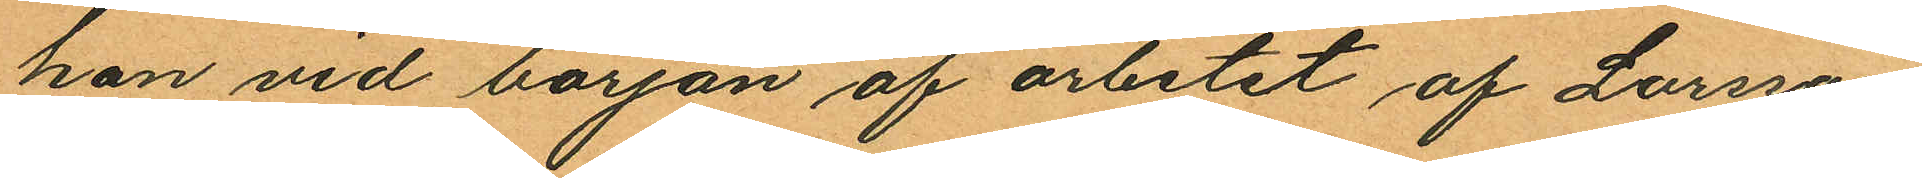han vid början af arbetet af Larsson
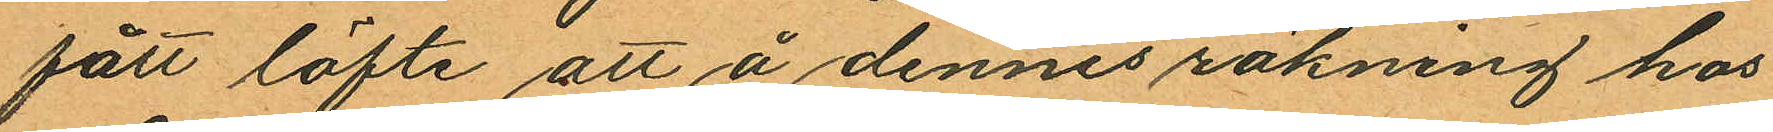fått löfte att å dennes räkning hos
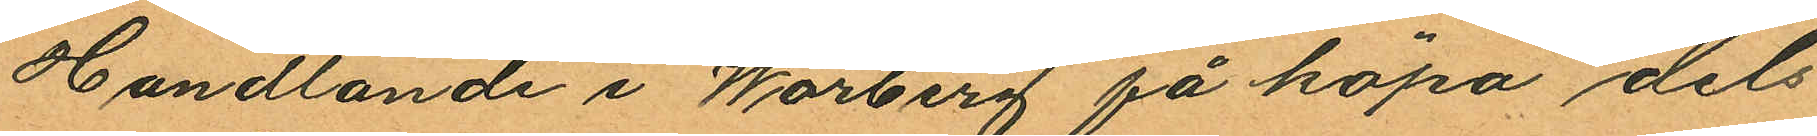Handlande i Warberg få köpa dels
